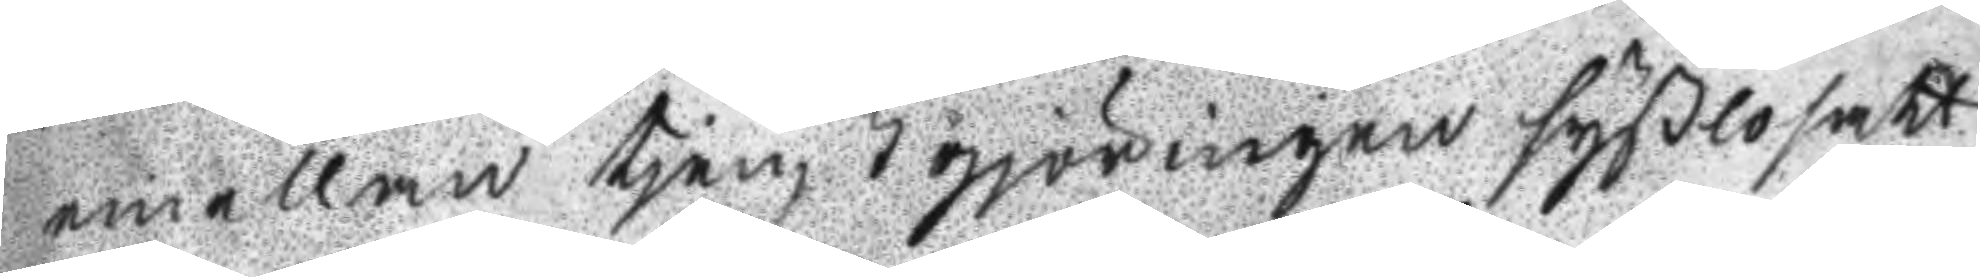emellan tjenstgjöringen syßlosatt
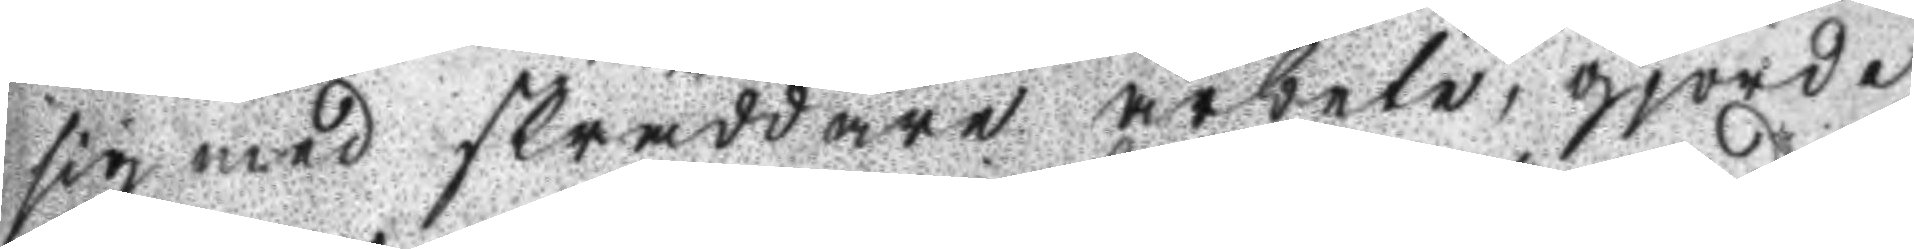sig med skräddare arbete, gjorde
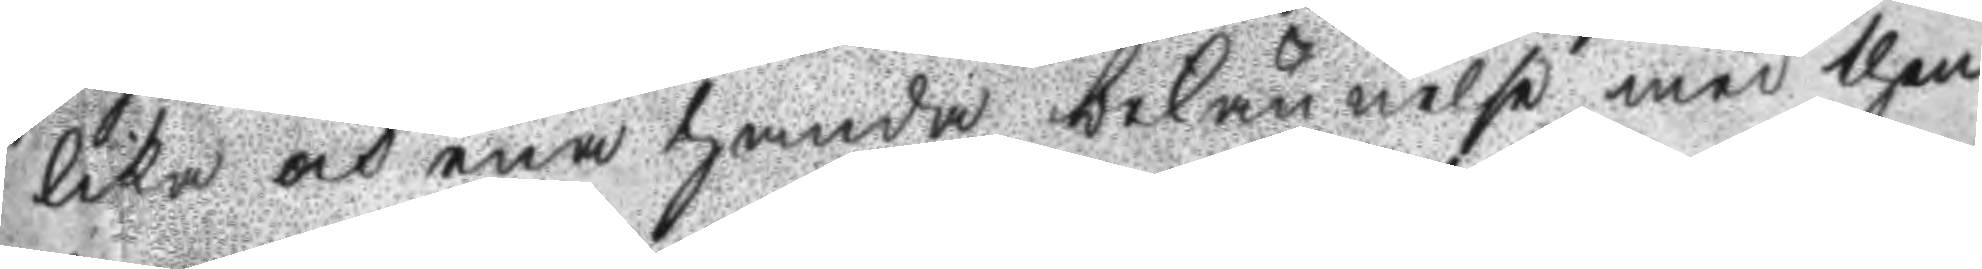lika och ena handa bekännelse med then
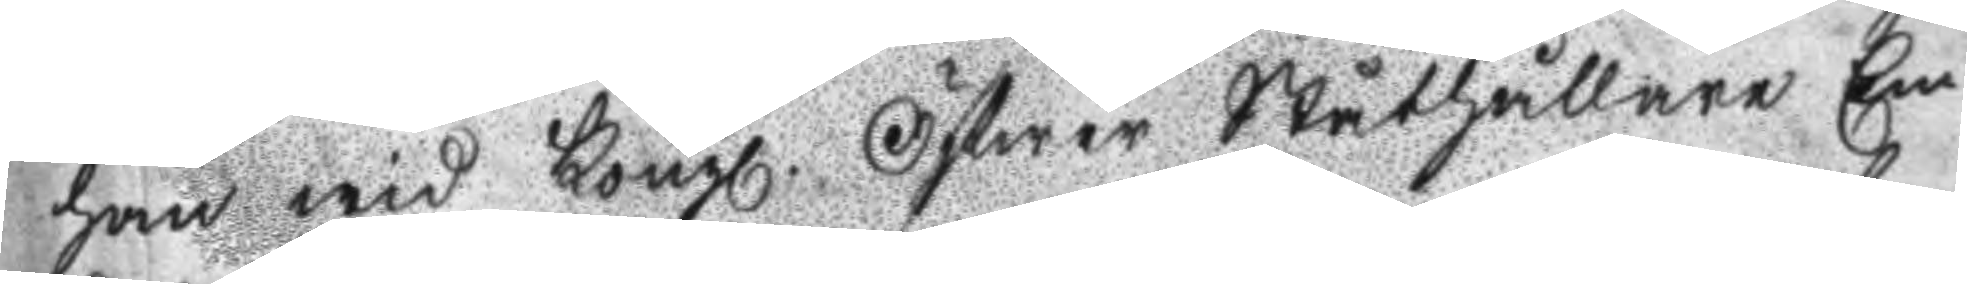han wid Kongl. Öfwer Ståthållare Em
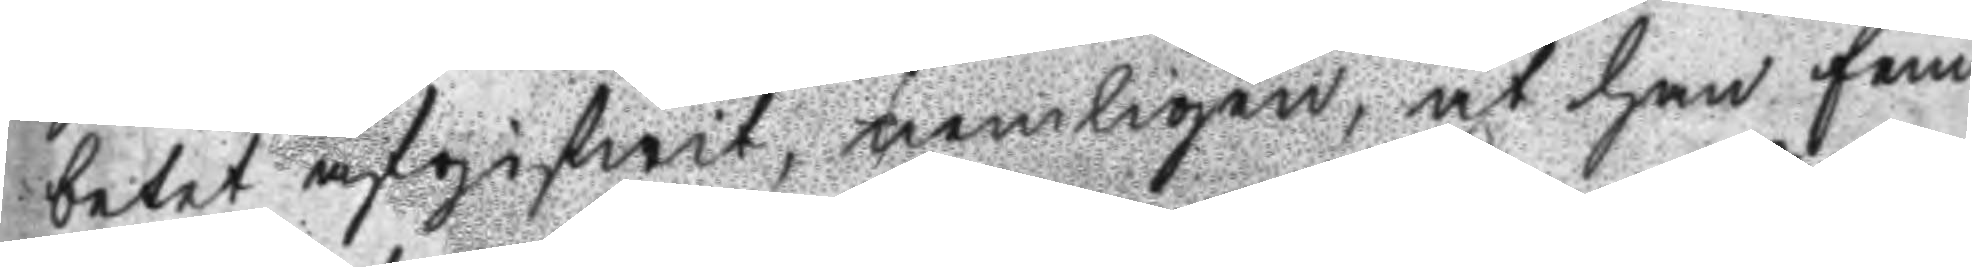betet angifwit, nemligen, at han fem
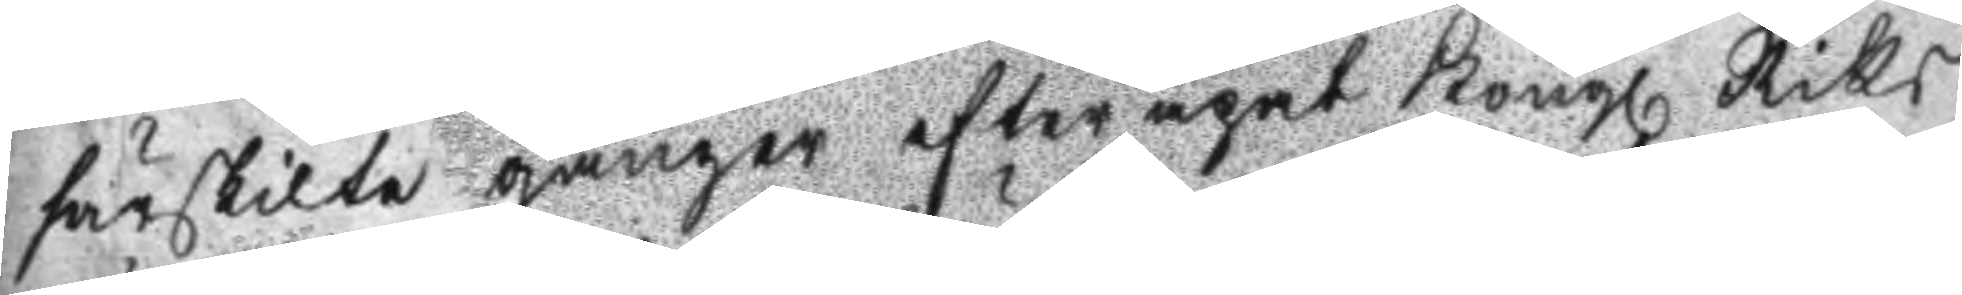särskilte gånger efter eget Kongl. Riks
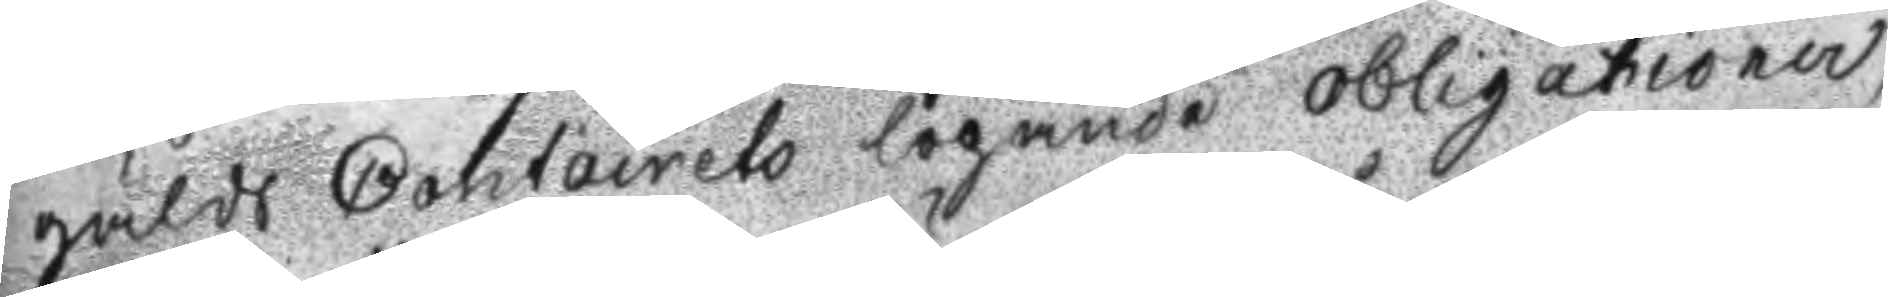gälds Contoirets lögande obligationer,
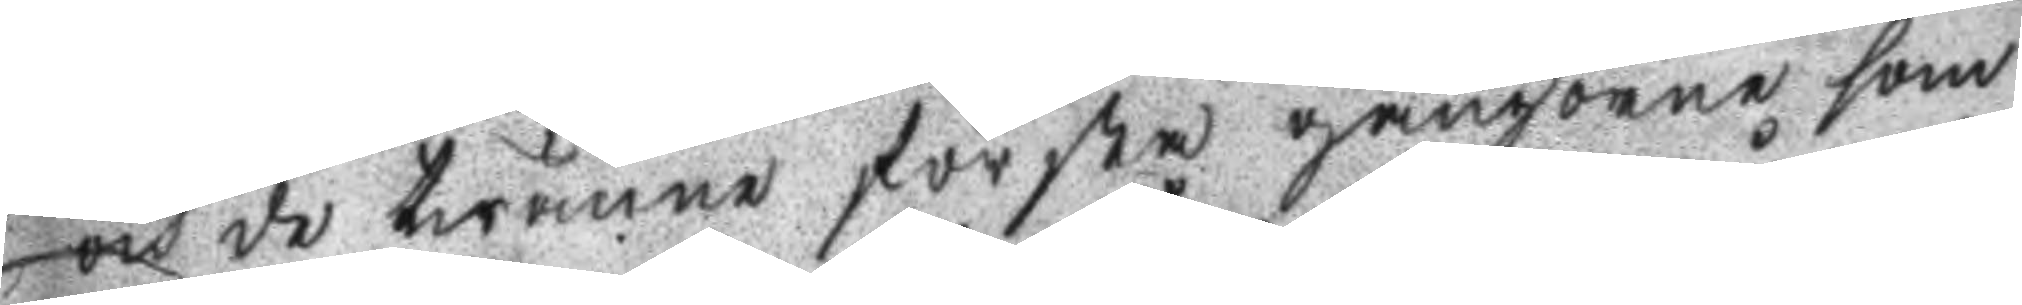och de twänne första gångerne som
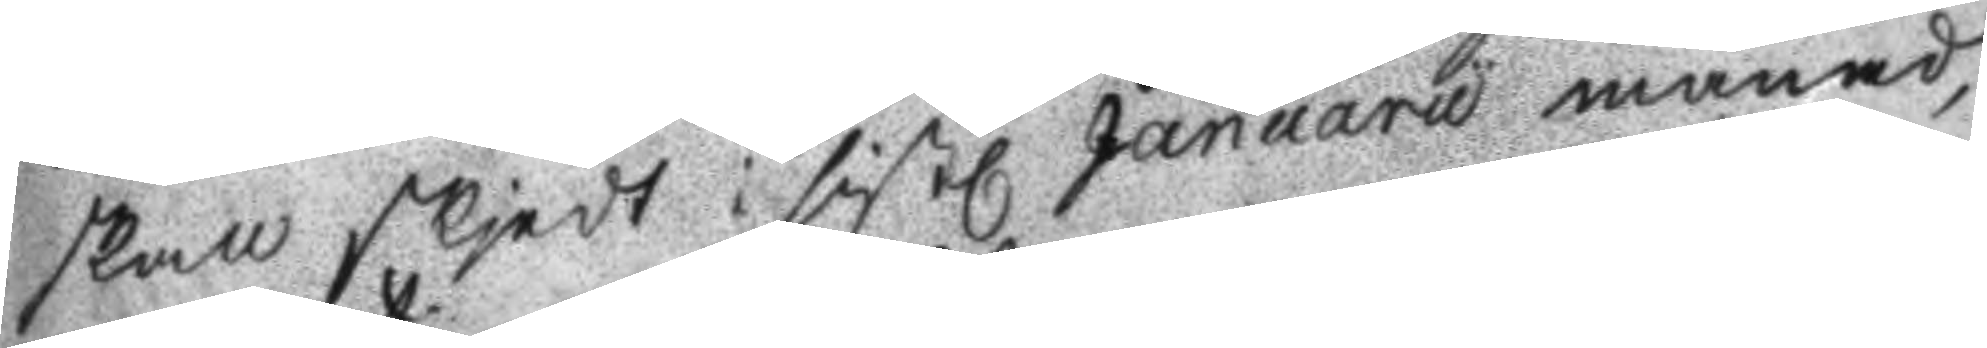skall skjedt i sistl. Januaru månad,
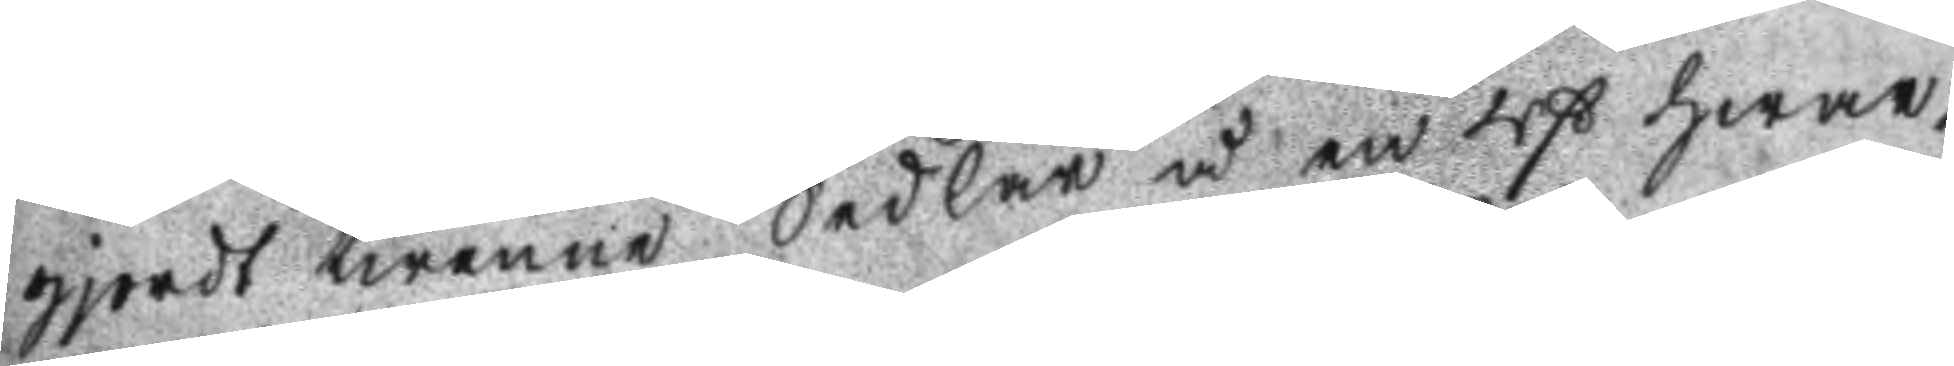gjordt twenne Sedlar å en Rß hwar¬
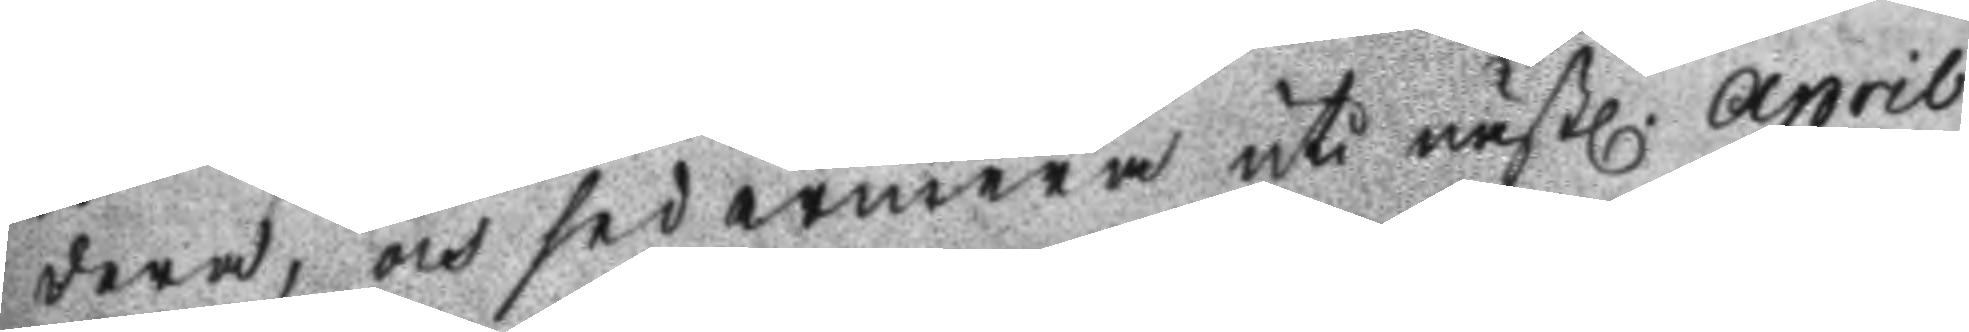dera, och sedermera uti nästl. april
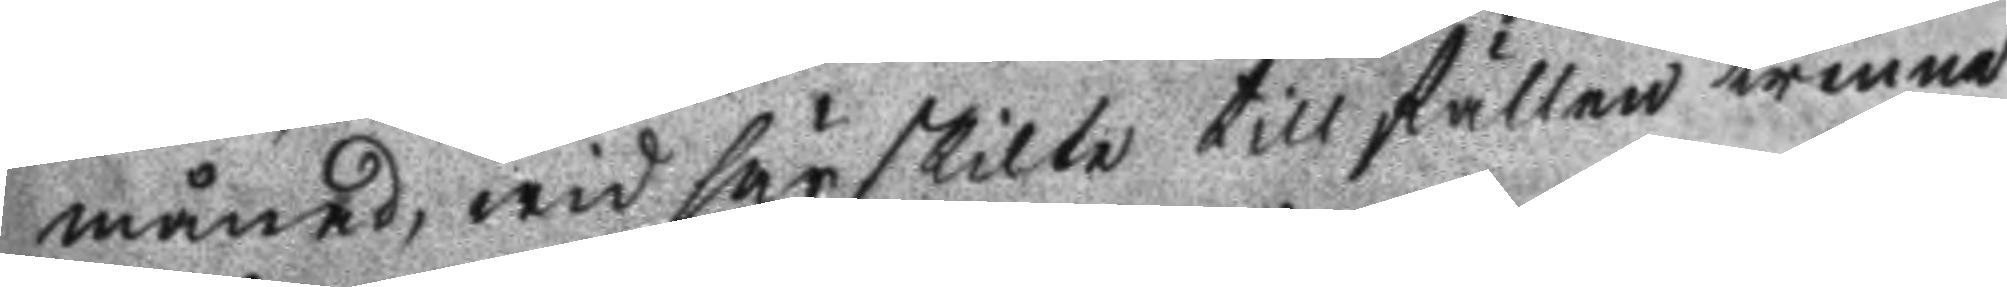månad, wid särskilte tillfällen trenne
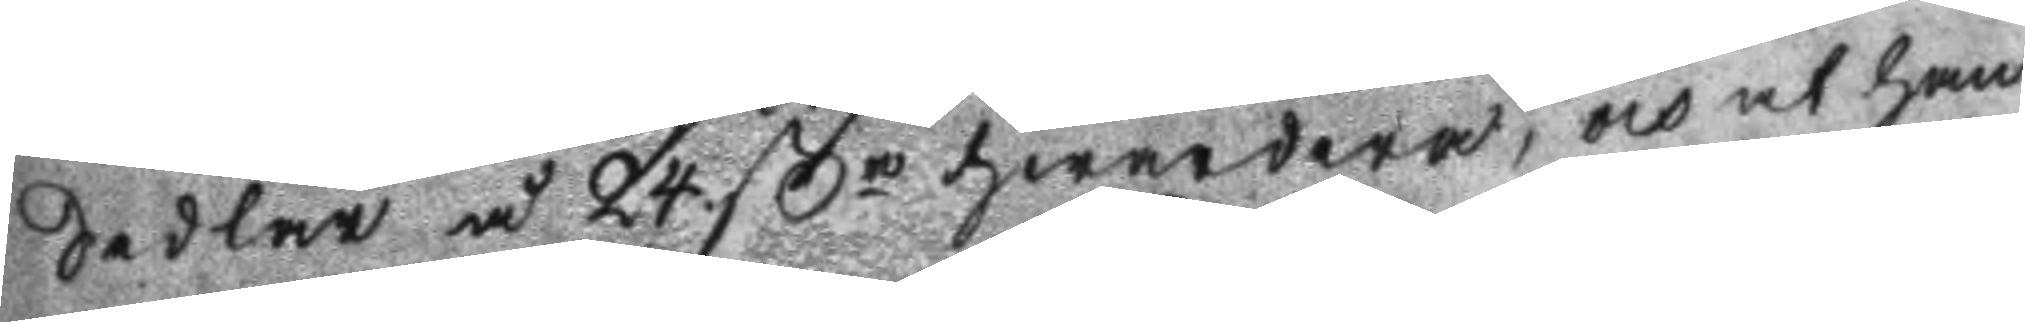Sedlar å 24.ßr hwardera, och at han
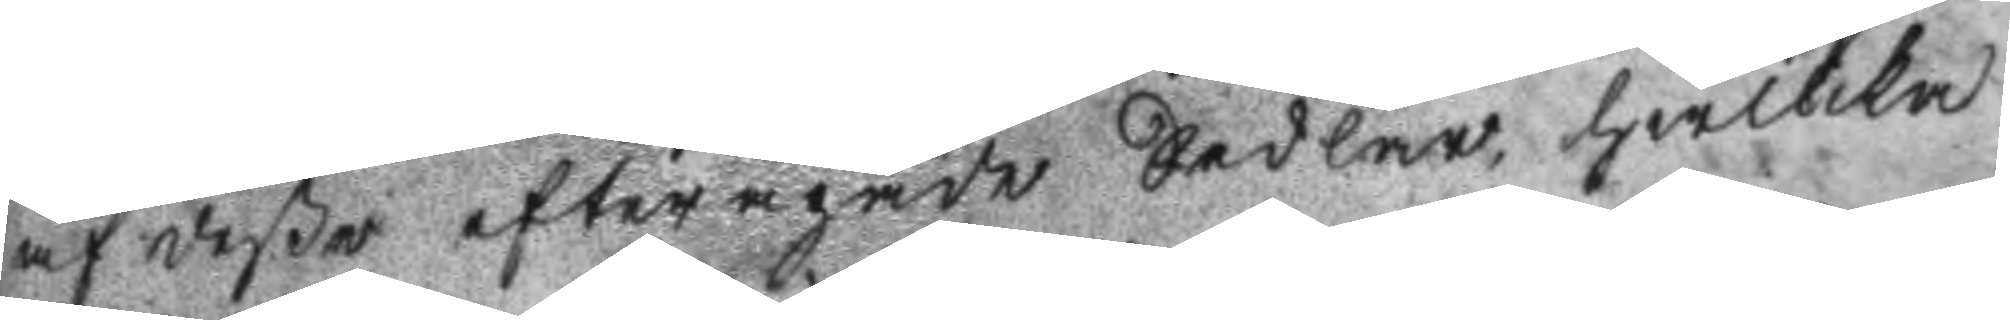af deßa efterapade Sedlar hwilka
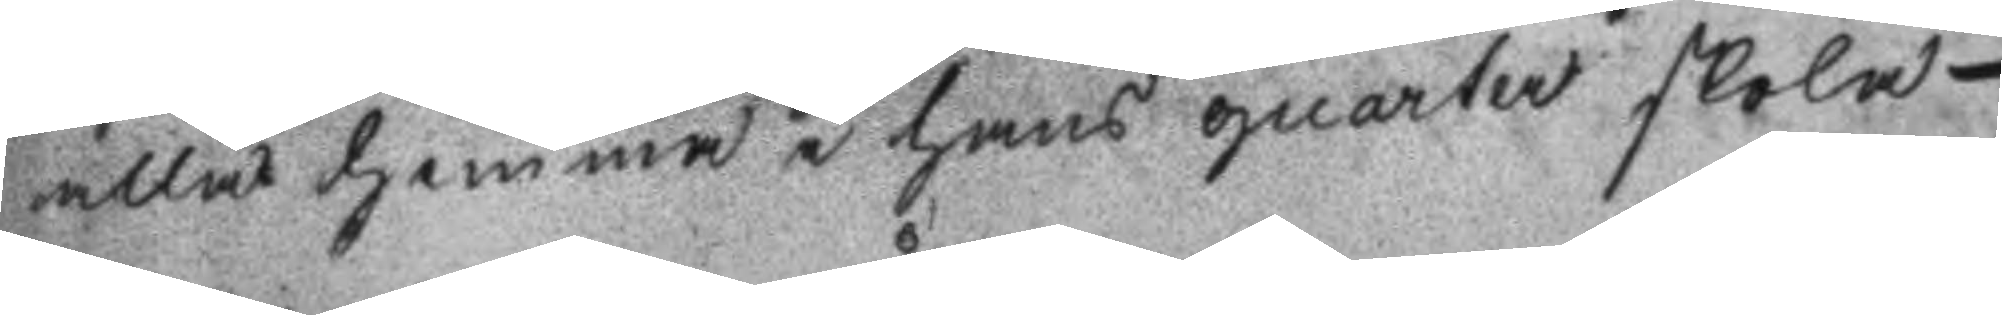alla hemma i hans quarter skola
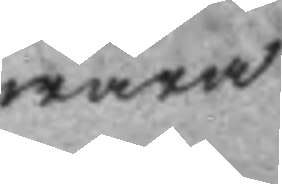wara
